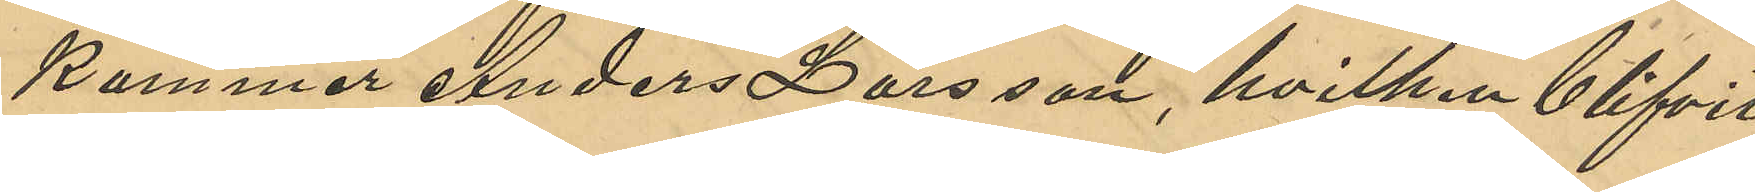kommer Anders Larsson, hvilken blifvit
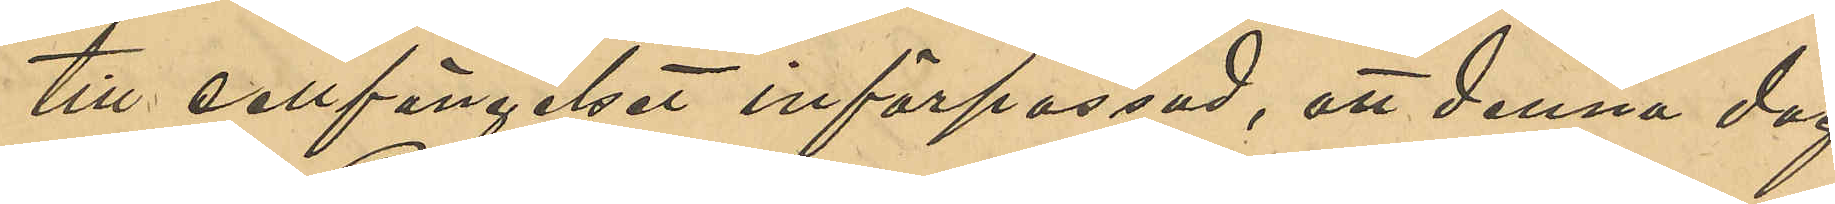till cellfängelset införpassad, att denna dag
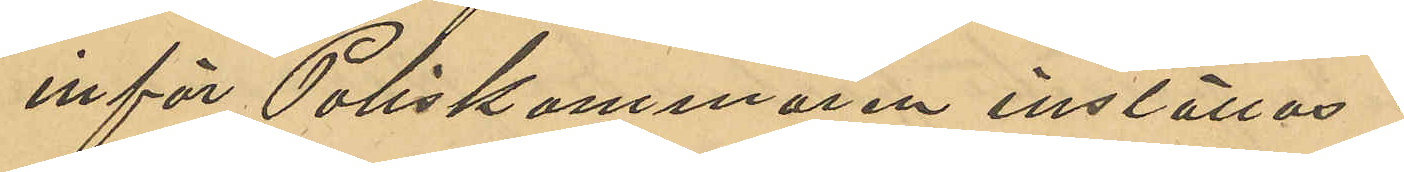inför Poliskammaren inställas.
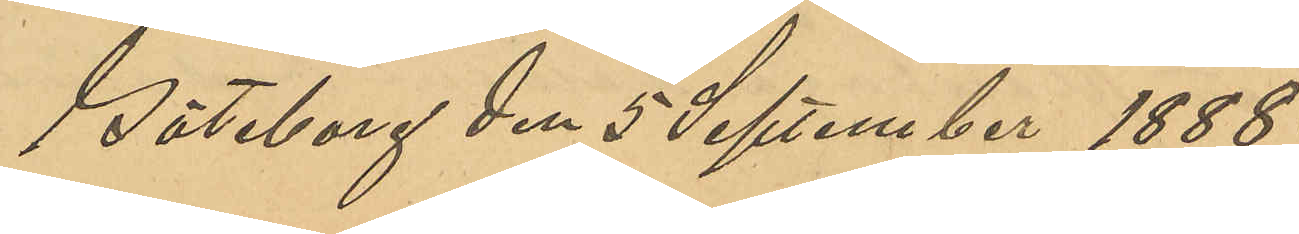Göteborg den 5 September 1888.
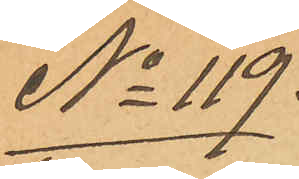No 119.
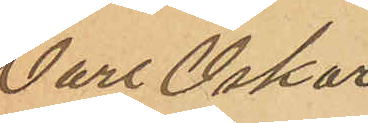Carl Oskar
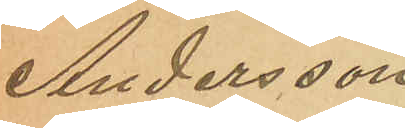Andersson
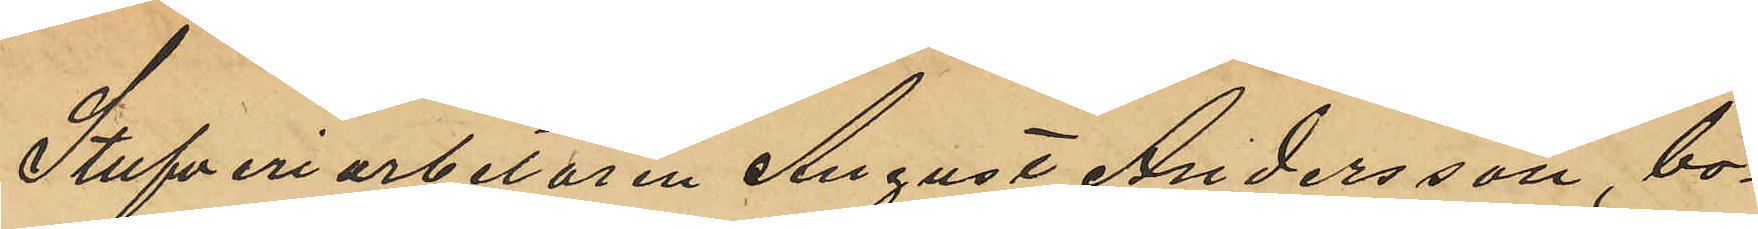Stufveriarbetaren August Andersson, bo¬
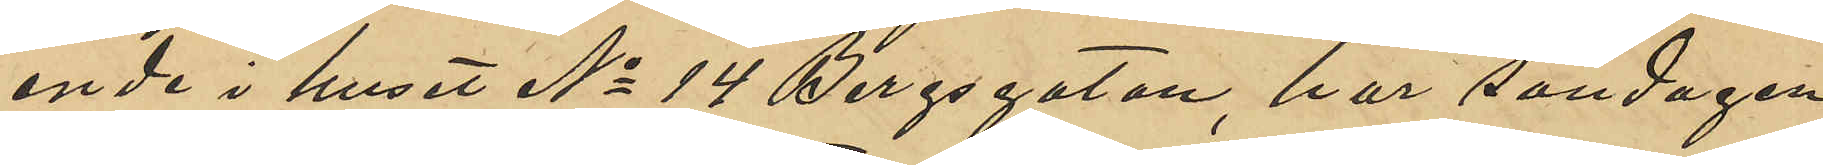ende i huset No 14 Bergsgatan, har söndagen
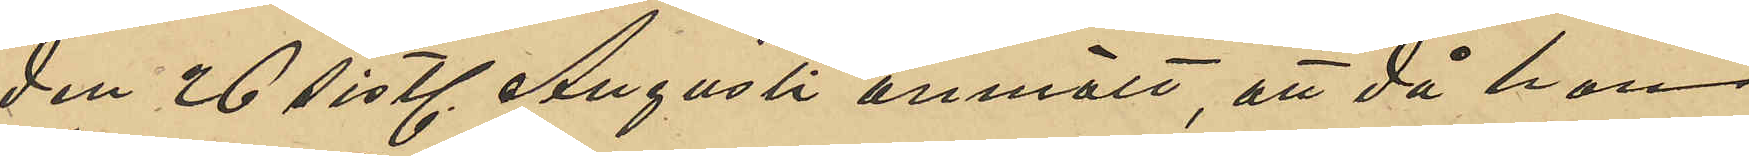den 26 sistl. Augusti anmält, att då han
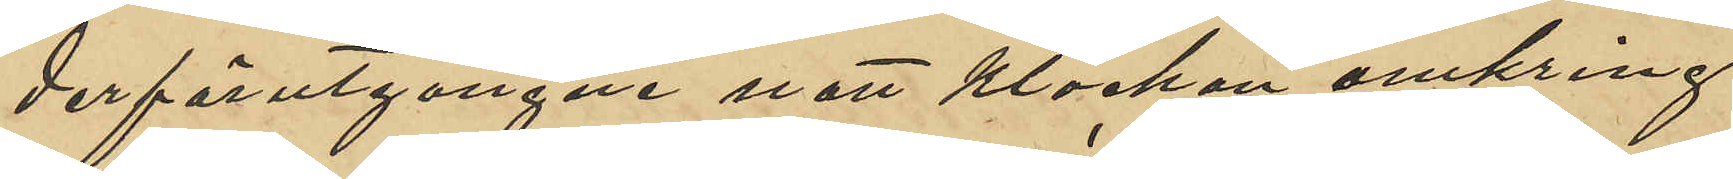derförutgångne natt klockan omkring
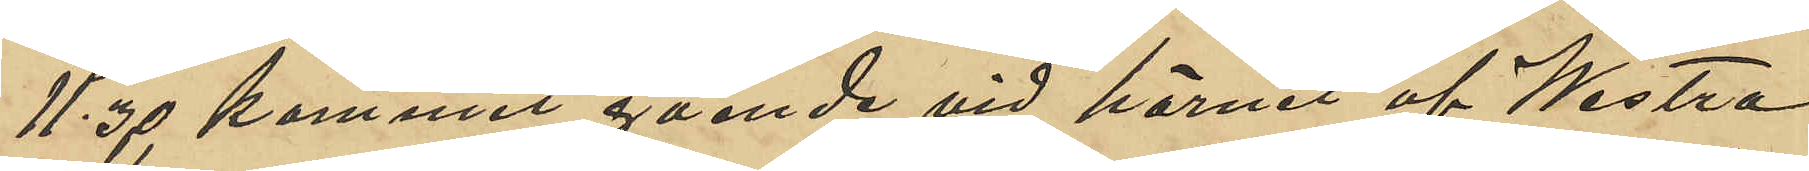11,30 kommit gående vid hörnet af Westra
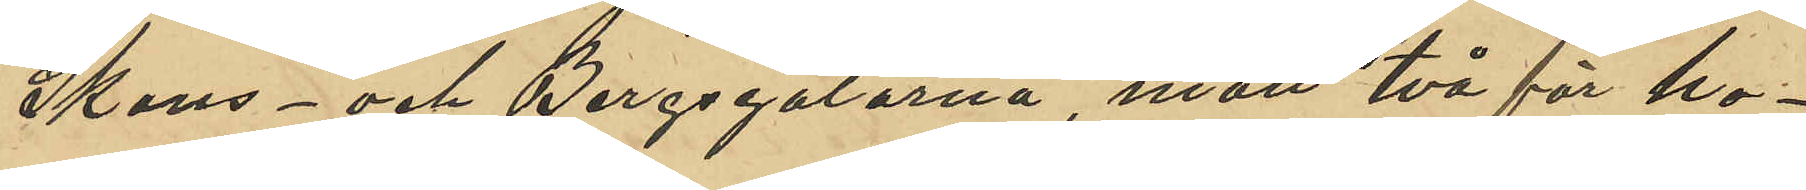Skans- och Bergsgatorna, mött två för ho¬
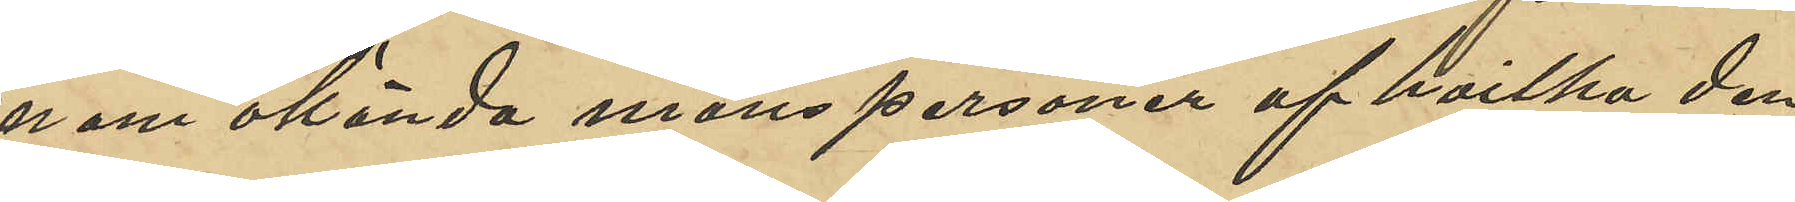nom okända manspersoner af hvilka den
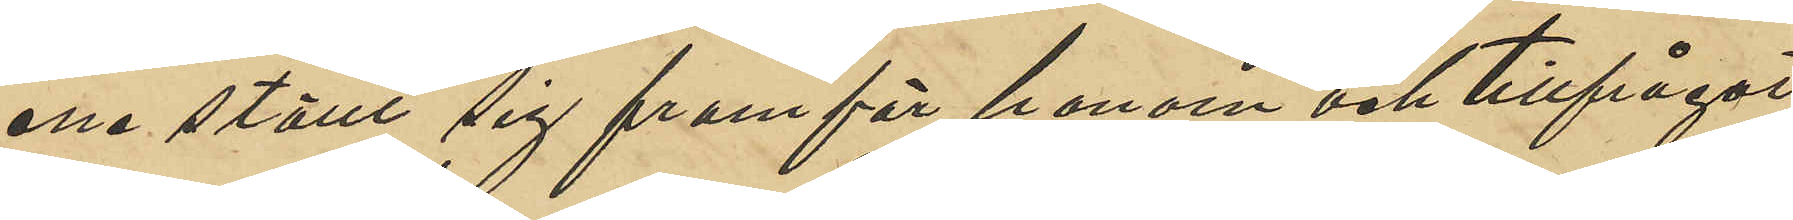ena ställt sig framför honom och tillfrågat
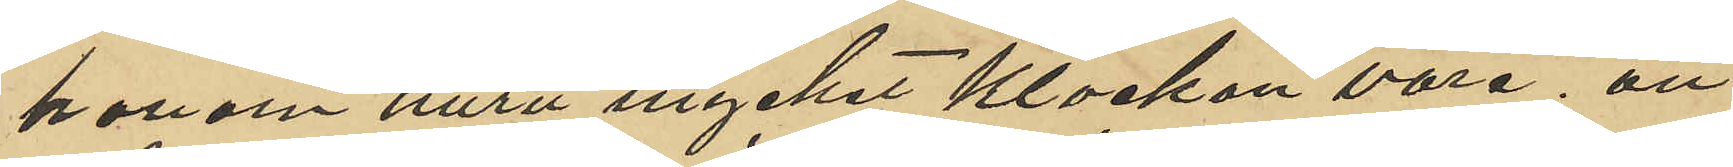honom huru mycket Klockan vore; att
